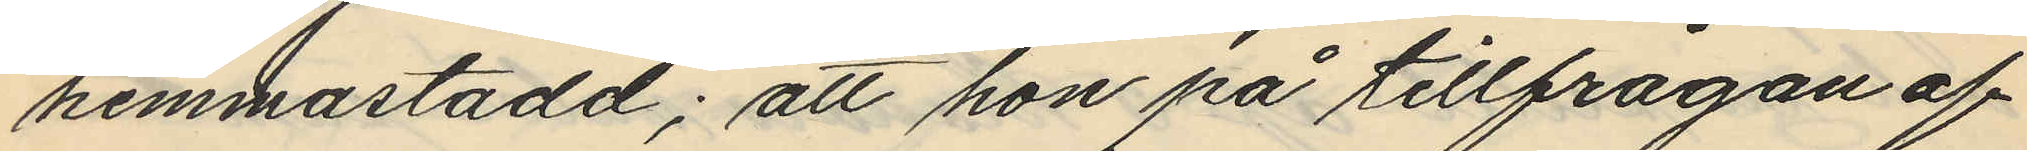hemmastadd; att hon på tillfrågan af
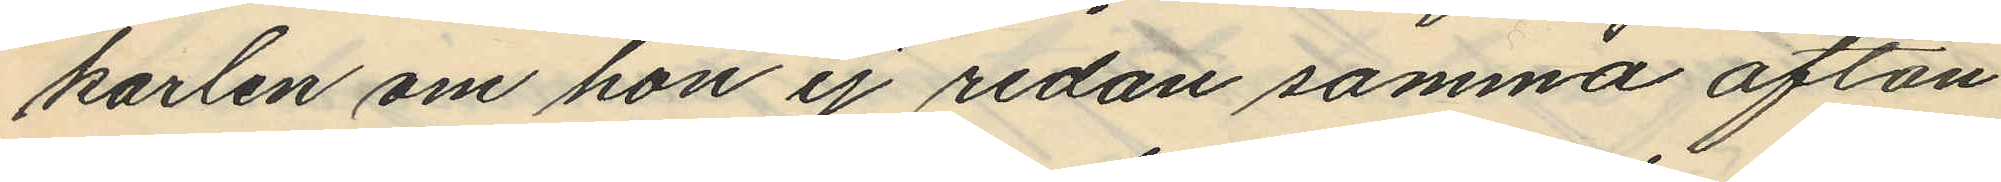karlen om hon ej redan samma afton
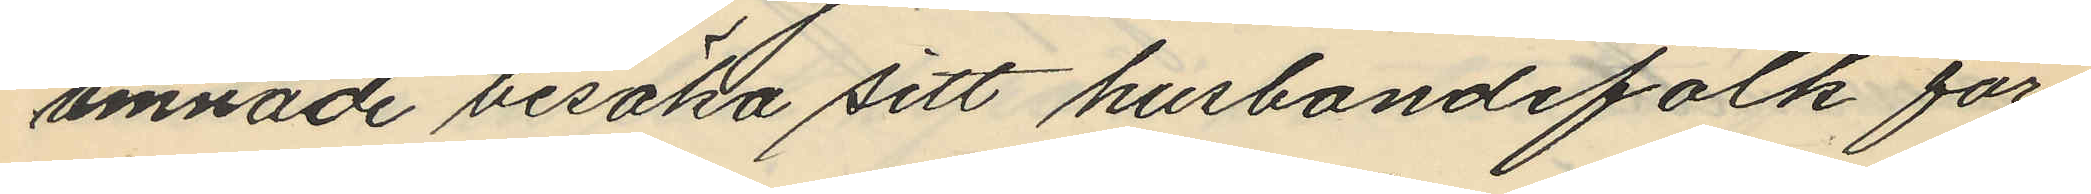ämnade besöka sitt husbondefolk för¬
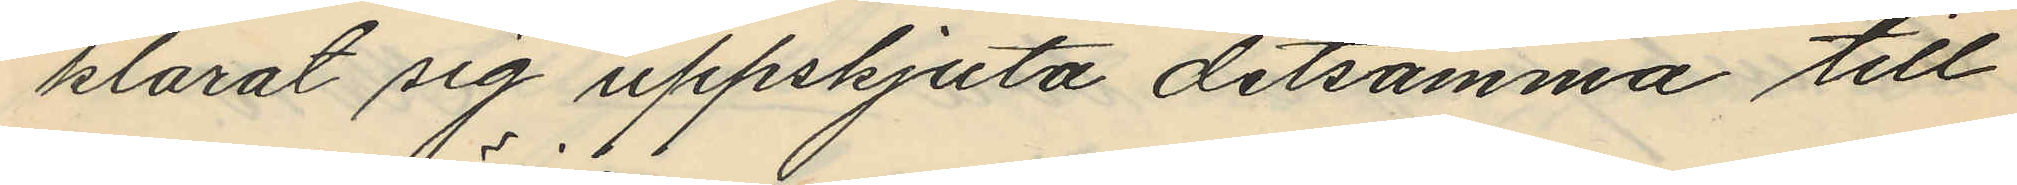klarat sig uppskjuta detsamma till
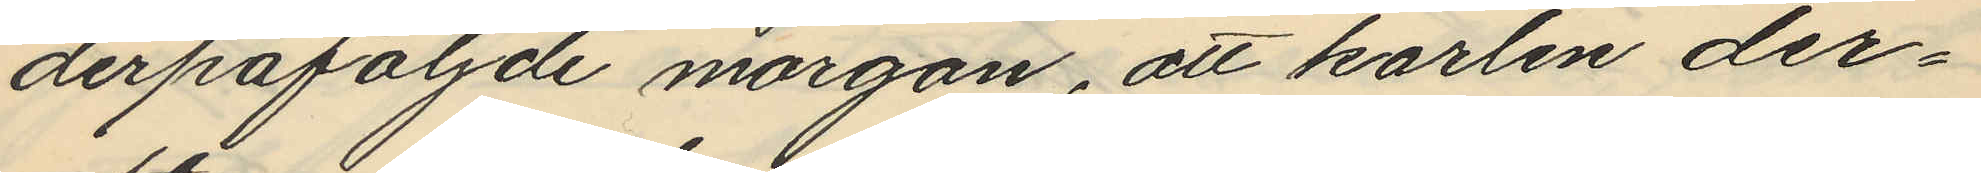derpåföljde morgon, att karlen der¬
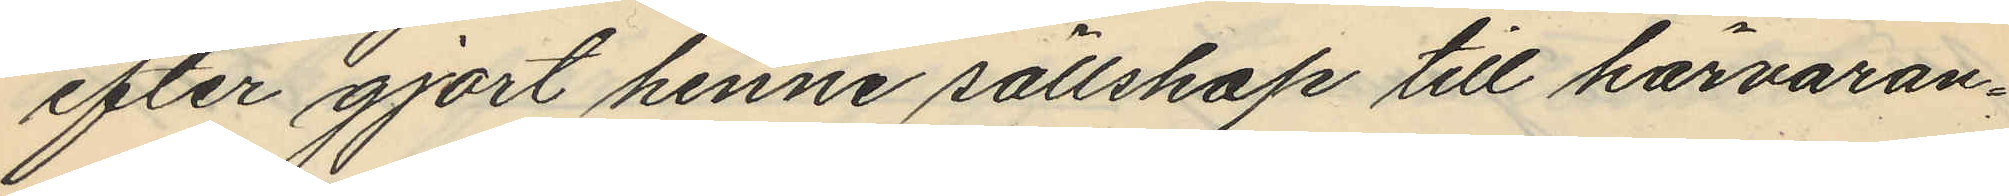efter gjort henne sällskap till härvaran¬
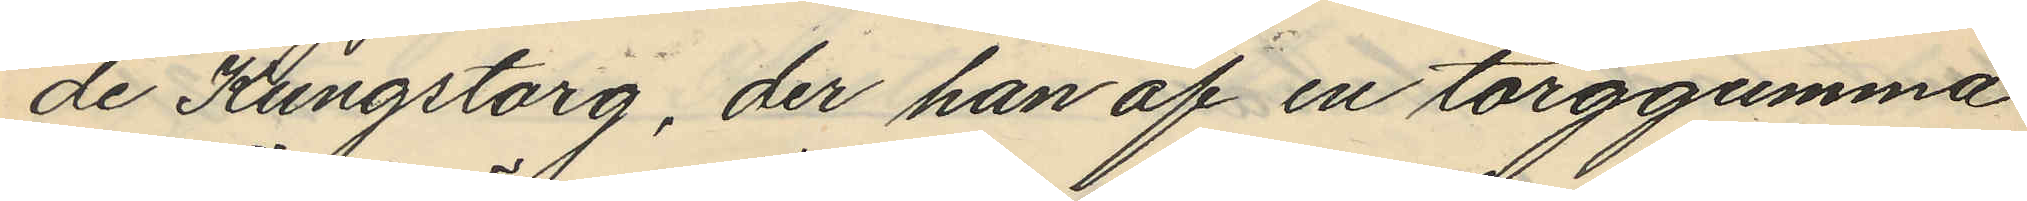de Kungstorg, der han af en torggumma
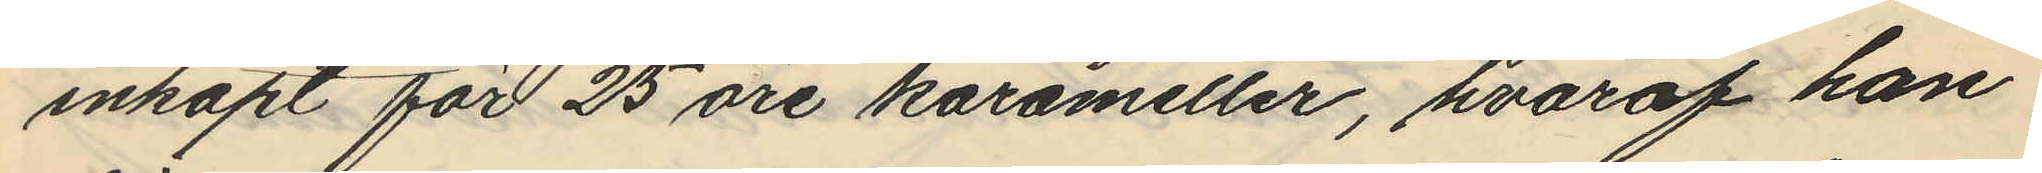inköpt för 25 öre karameller, hvaraf han
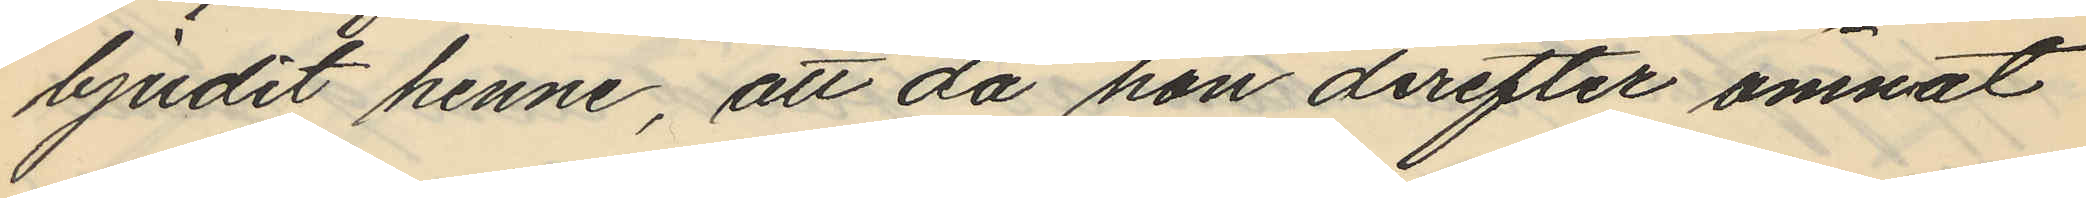bjudit henne, att då hon derefter ämnat
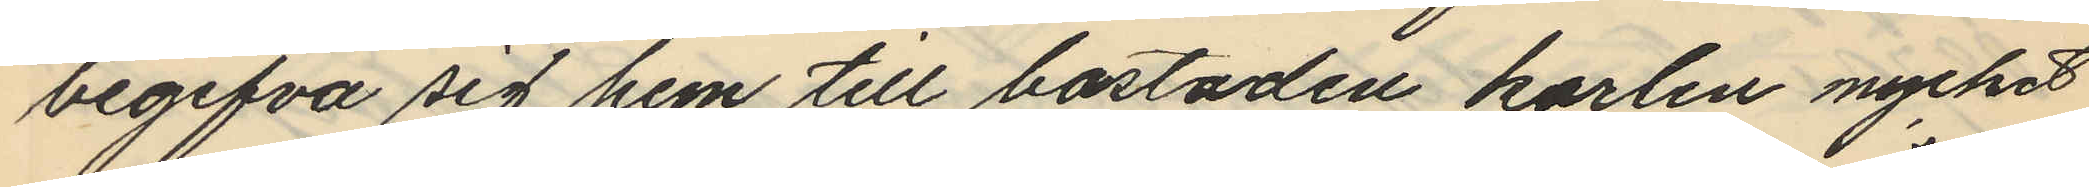begifva sig hem till bostaden karlen mycket
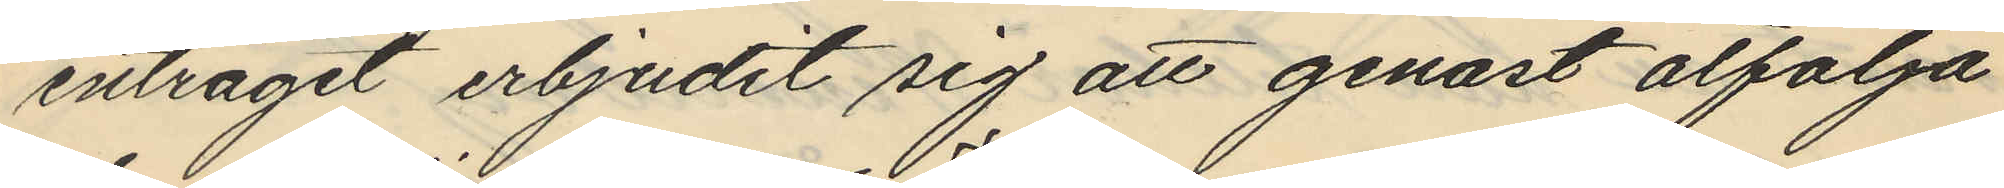enträget erbjudit sig att genast åtfölja
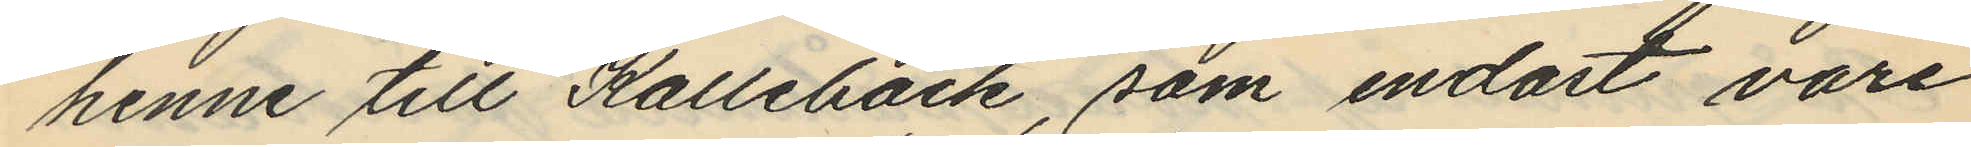henne till Kallebäck, som endast vore
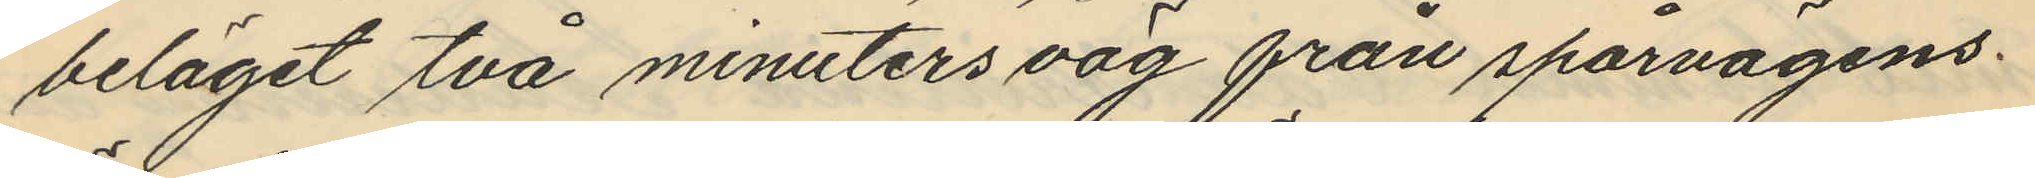beläget två minuters väg från spårvägens.
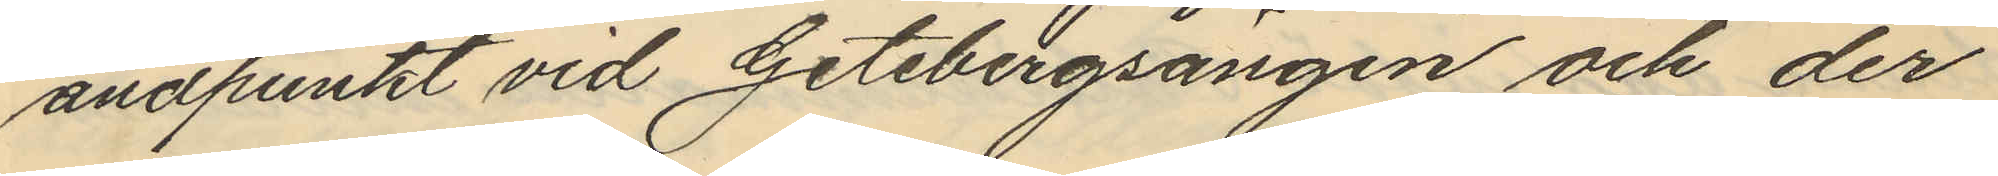ändpunkt vid Getebergsängen och der
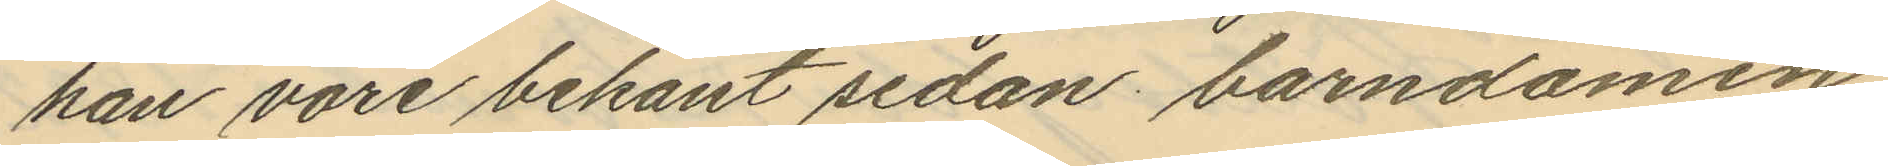han vore bekant sedan barndomen
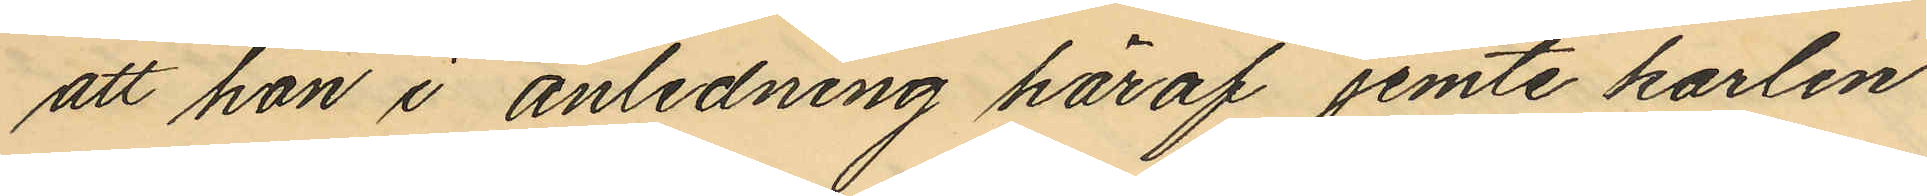att hon i anledning häraf jemte karlen
